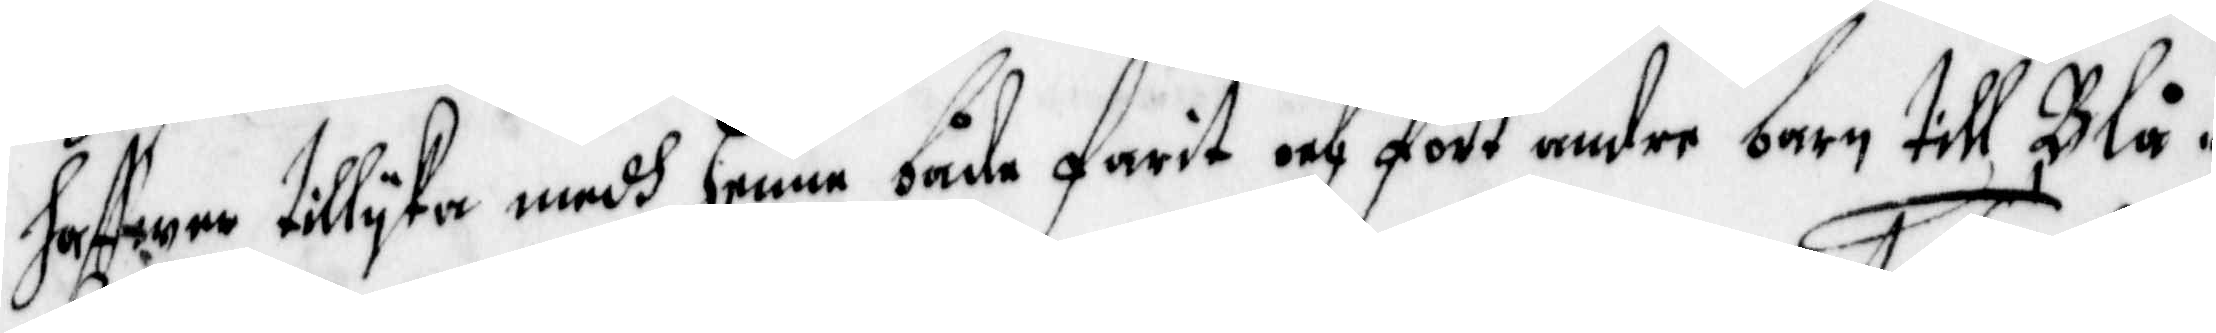haffwer tillyka medh henne både fatit och fört andre barn till Blå¬
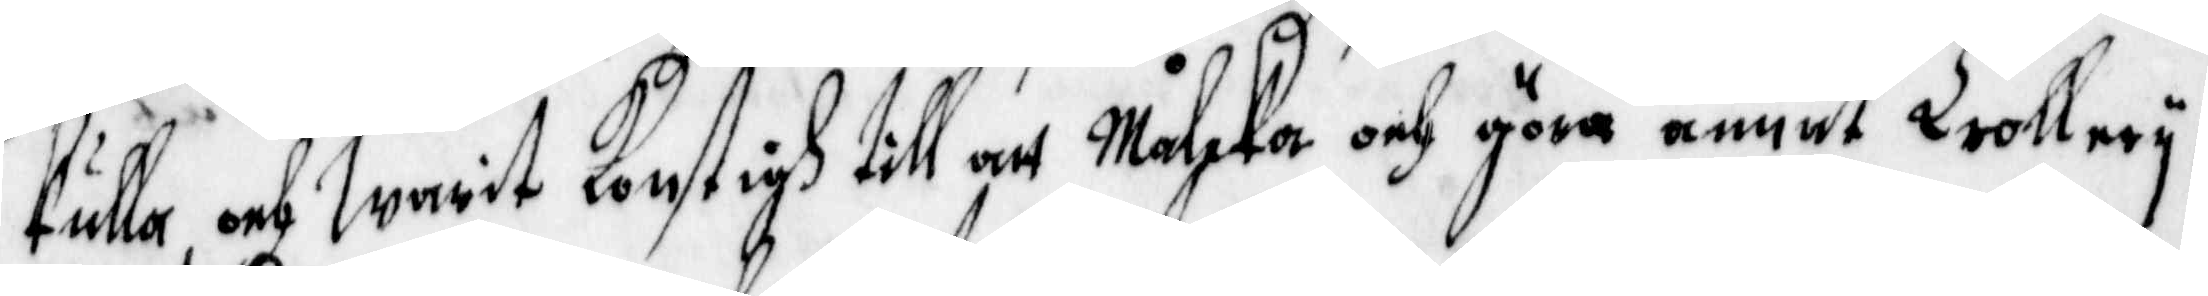kulla, och warit konstigh till att Måleka och göra annat Trollery,
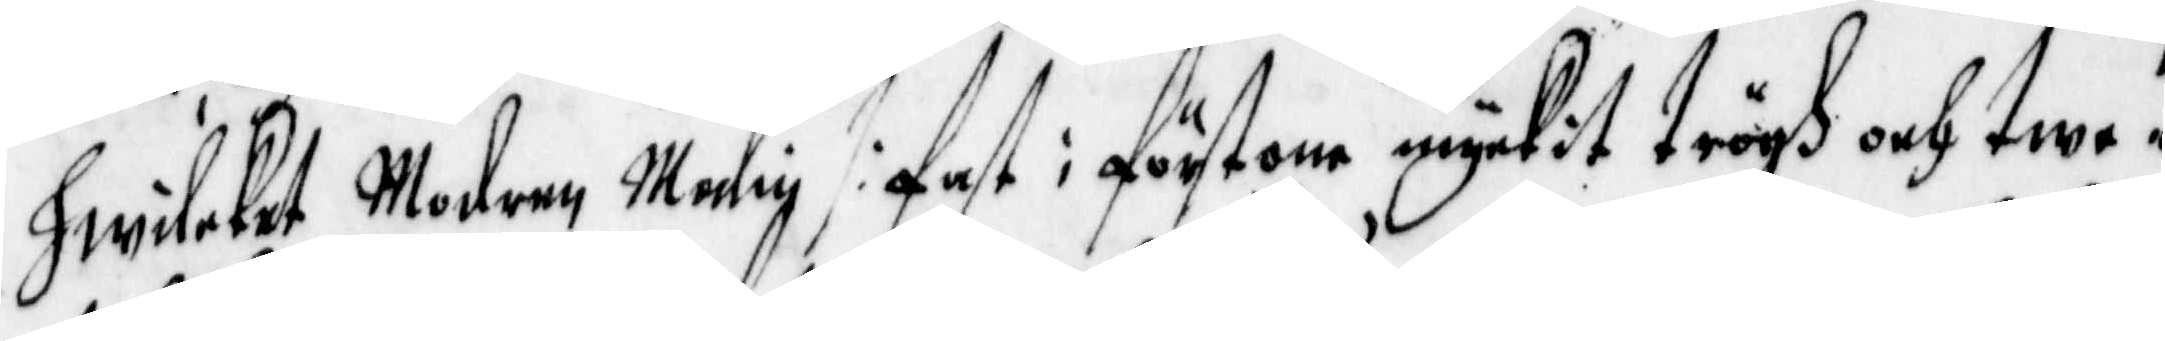hwilket Modern Malin /: fast i förstone myckit trögh och twe¬
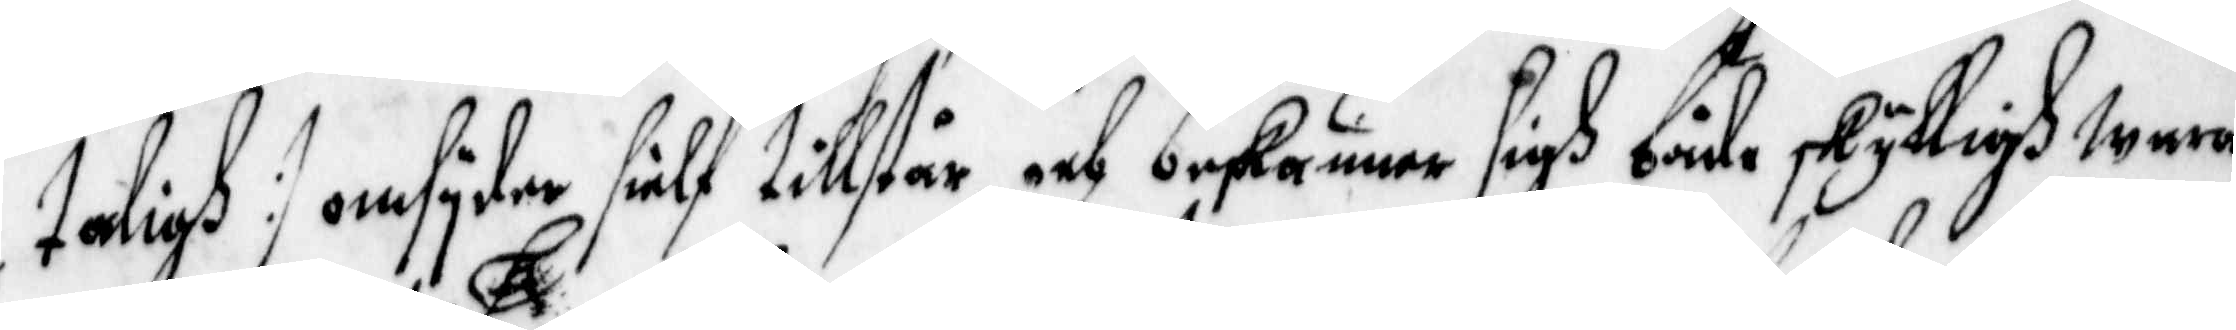taligh :/ omsyder sielf tillstår och beskänner sigh både skyldigh wara
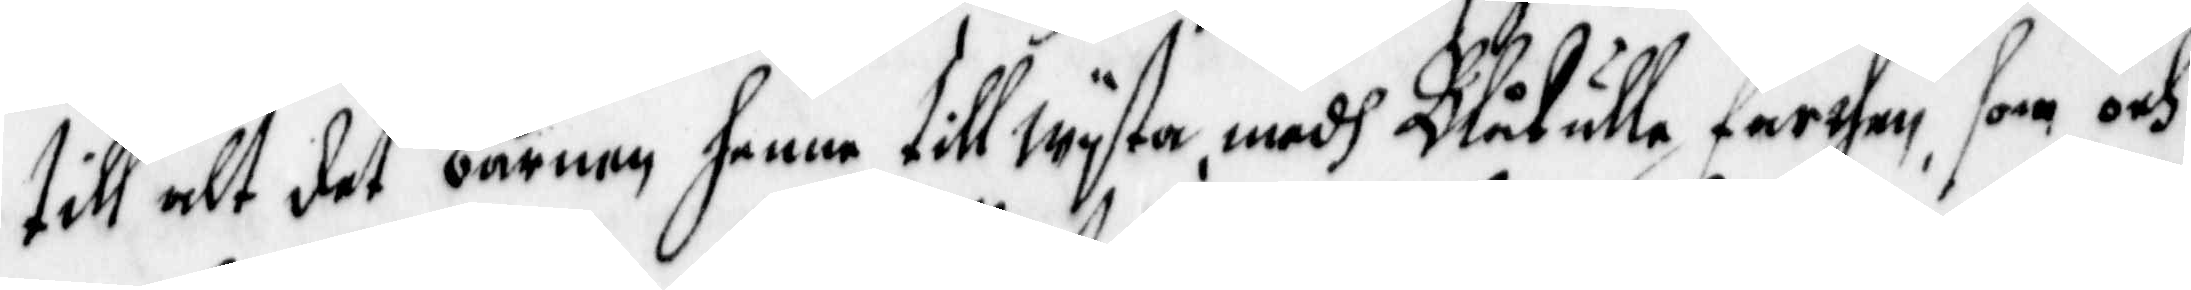till alt det barnen henne tillwyta, medh Blåkulle farthen, som och
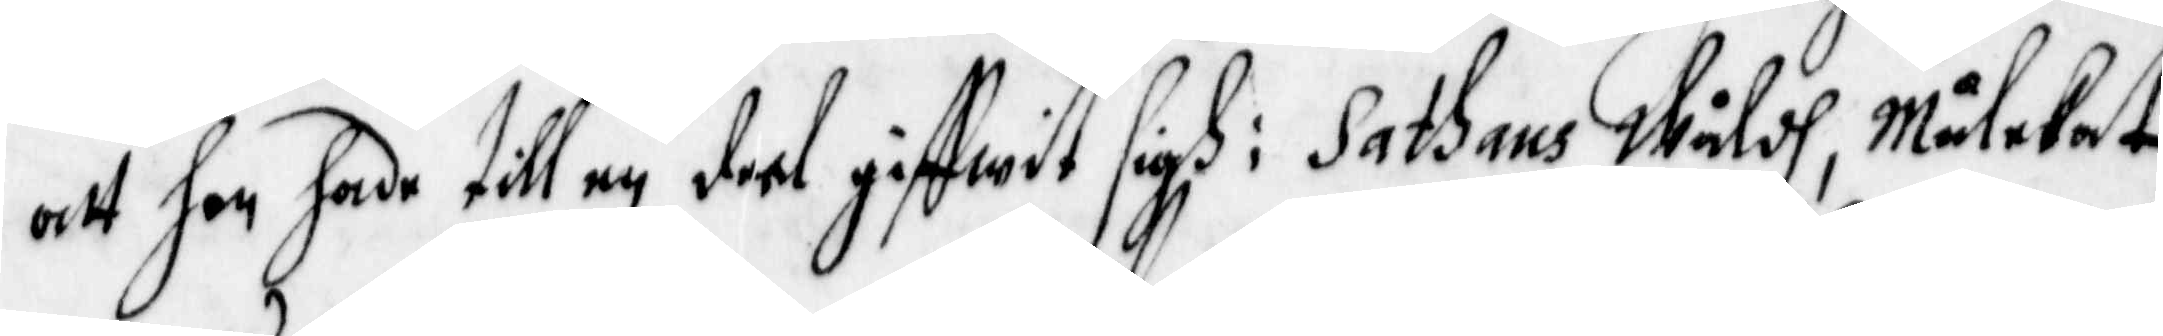alt hon hade till en deel giffwit sigh i Sathans Wåldh, Målekat
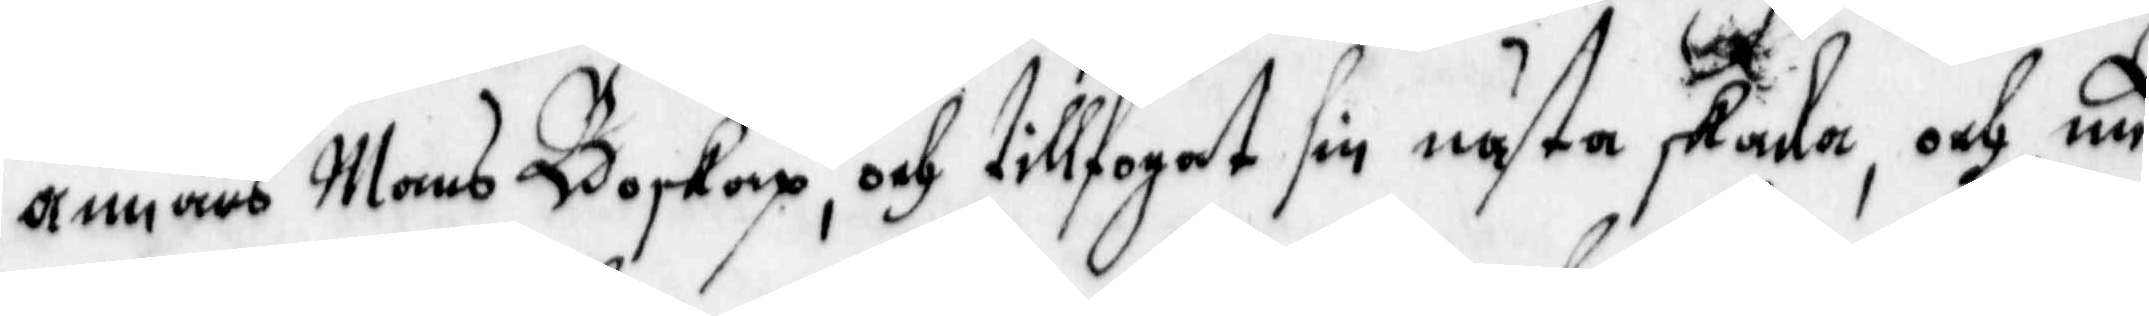annans mans Boskap, och tillfogat sin nästa skada, och nu
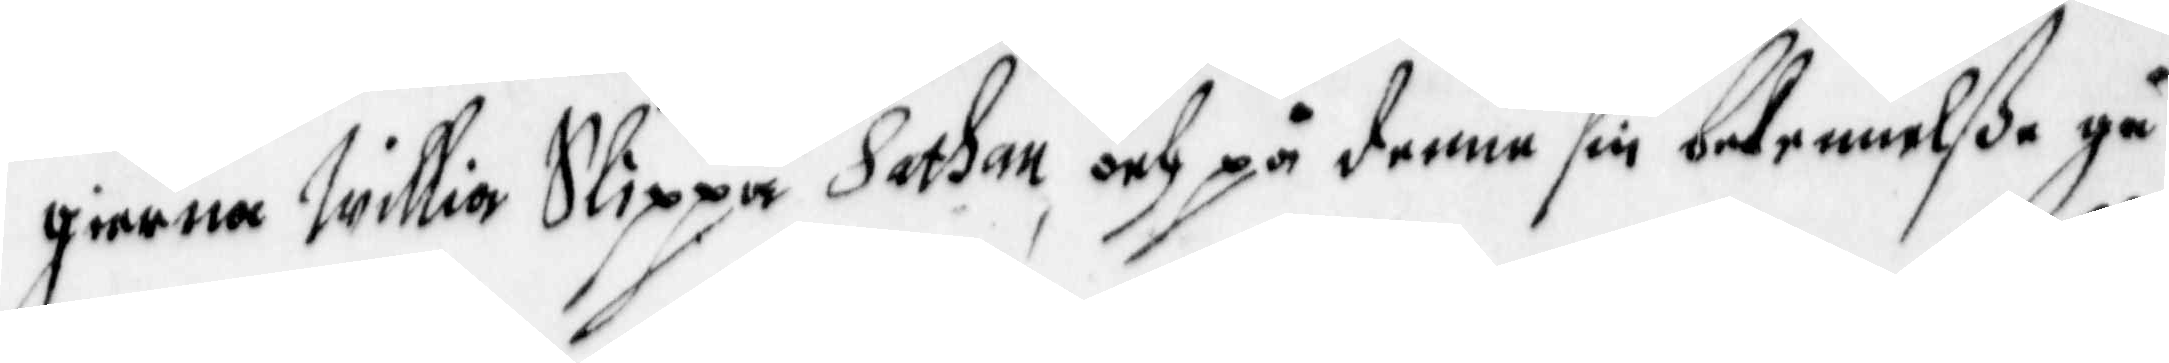gierna Willia Slippa Sathan, och på denne sin bekennelße gå
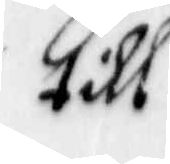till
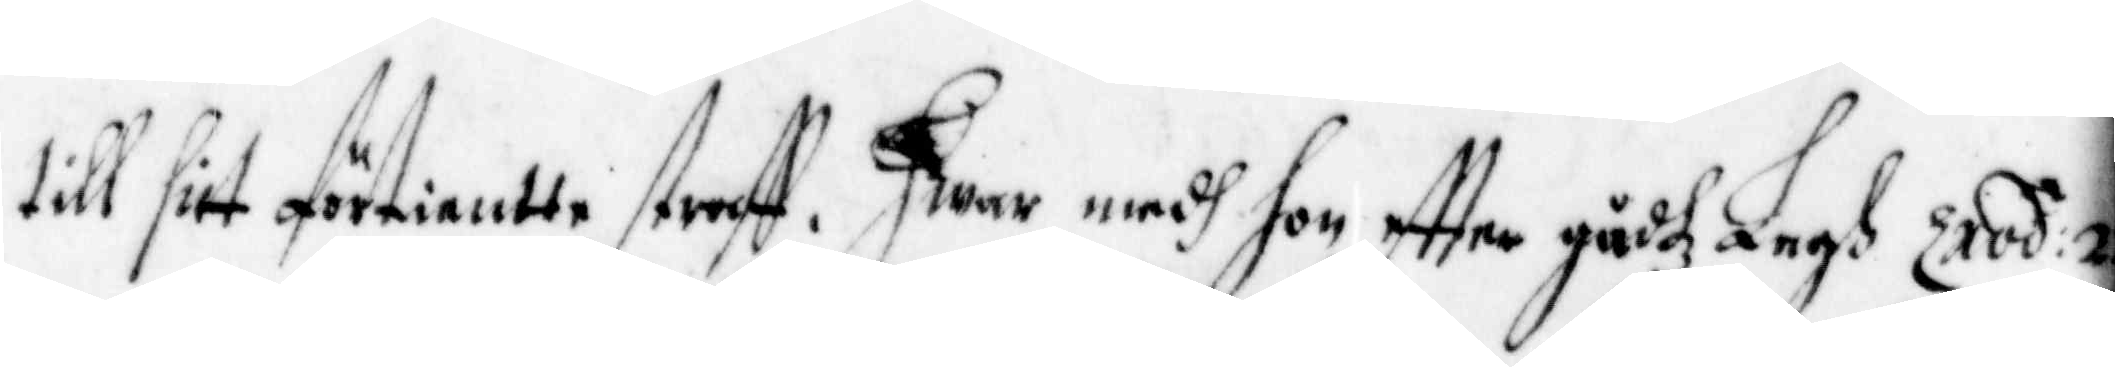till sitt förtientte straff. Hwar medh hon effter gudz Lagh Exod: 2
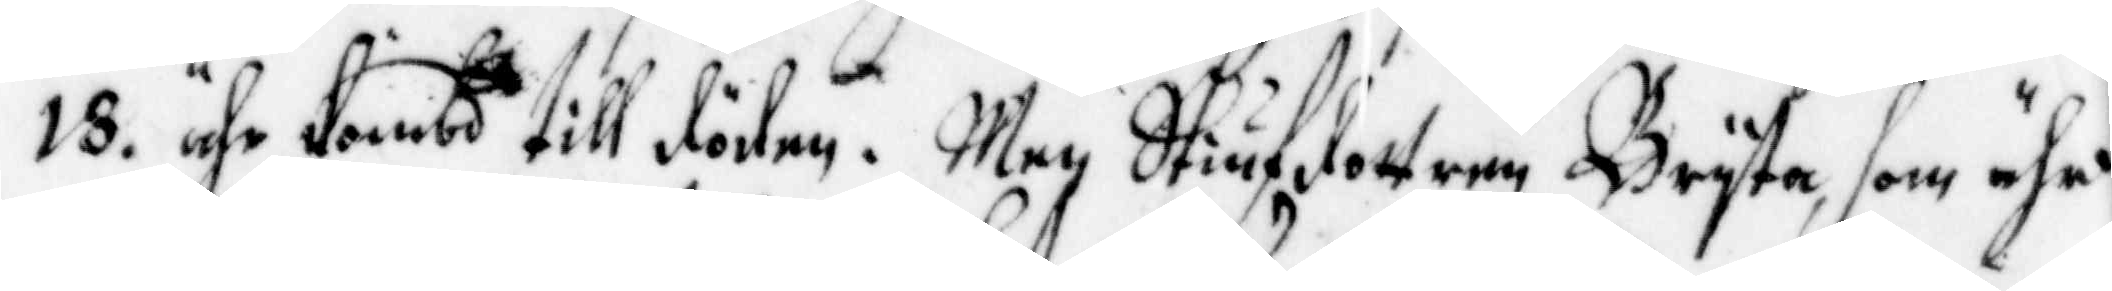18. ähr dömbd till döden. men Stiufdottern Bryta, som ähr
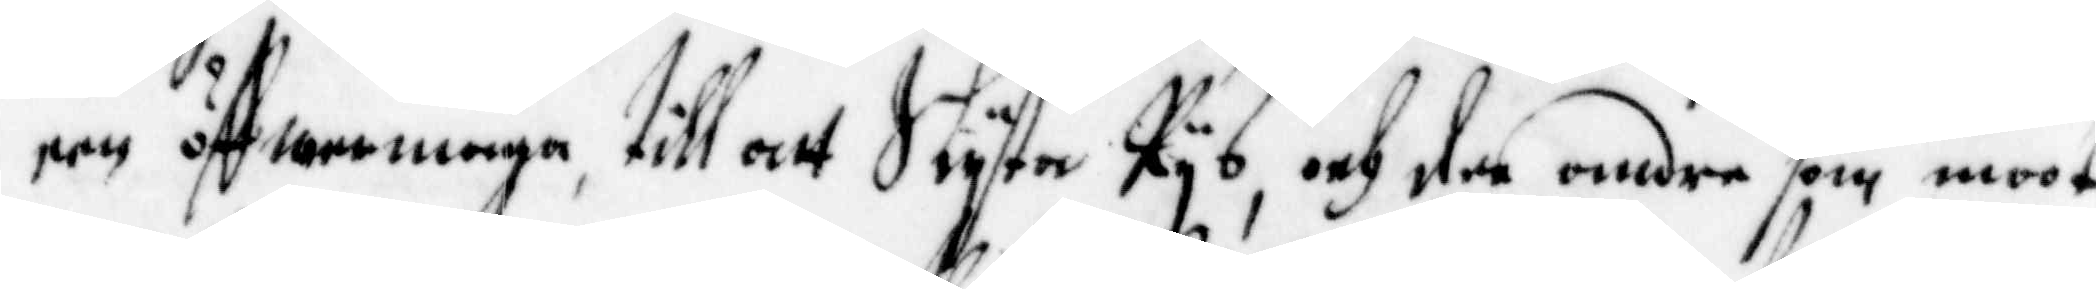een öffwermaga, till att Slyta Rys, och den andre som moot
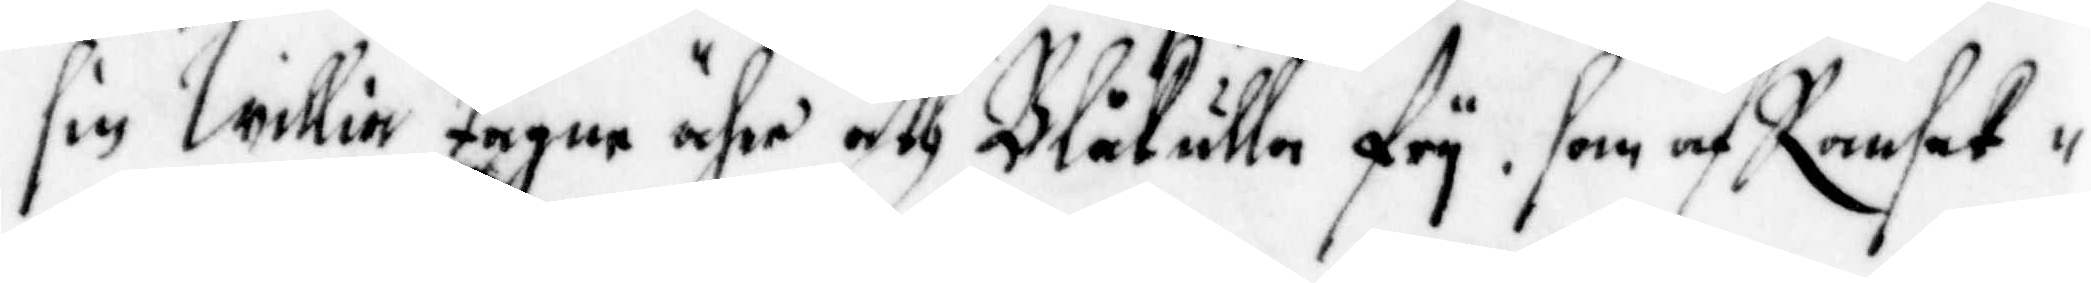sin Willia tagne ähre åth Blåkulla fry, som af Ransak¬
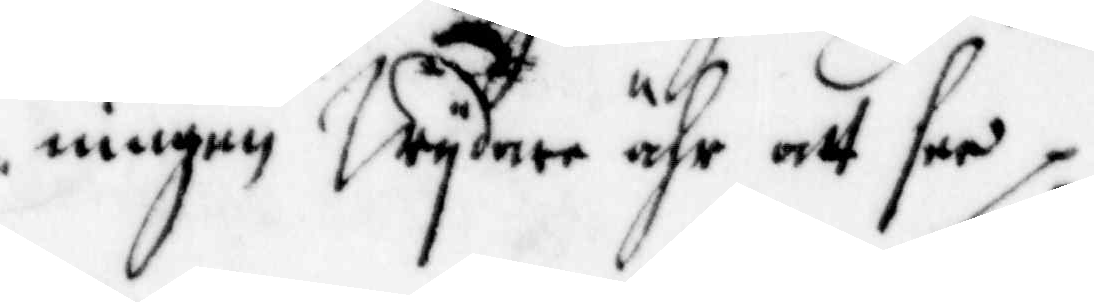ningen Wydare ähr ett see.
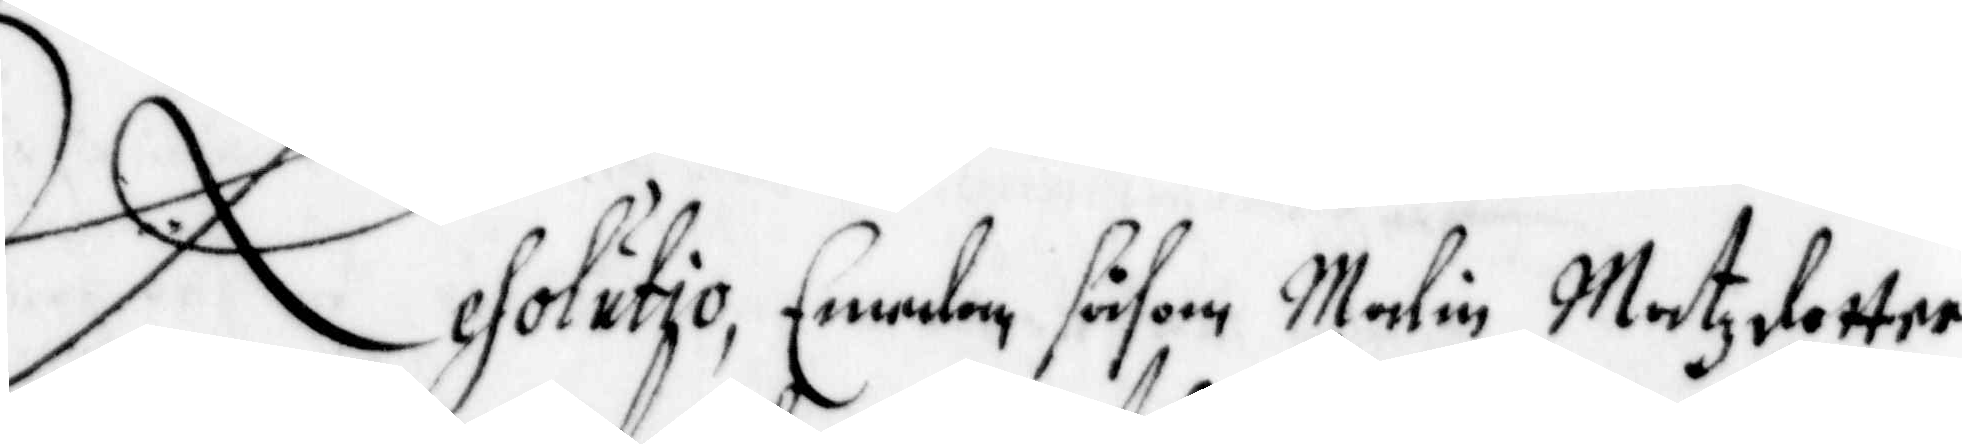Resolutio, Emedan såsom Malin Matzdotter
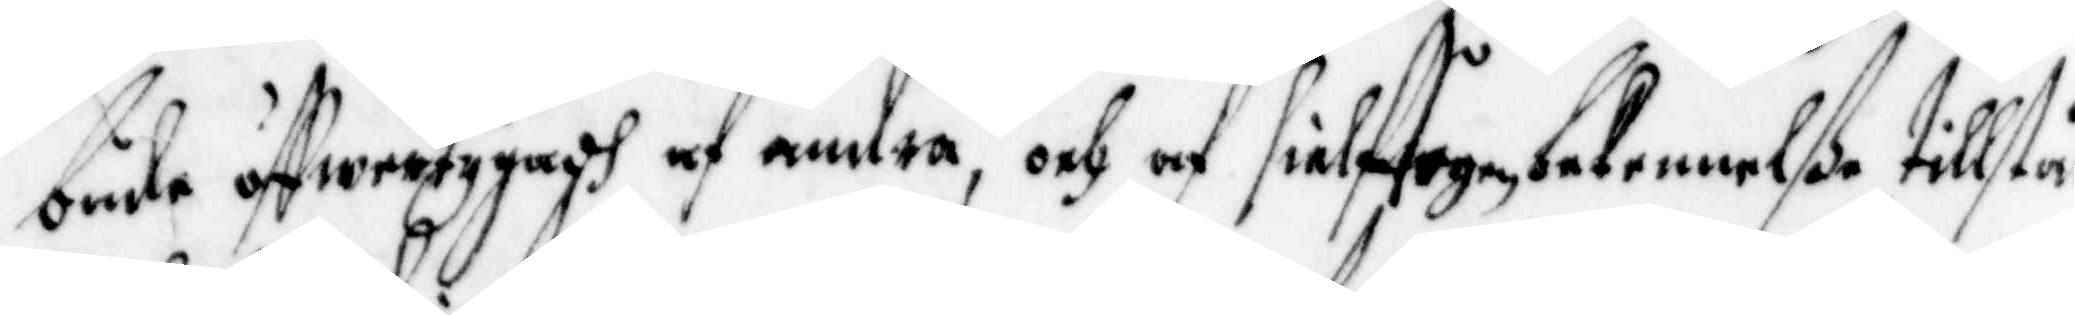både öffwertygadh af andra, och af sielftagen bekennelße tillstår
